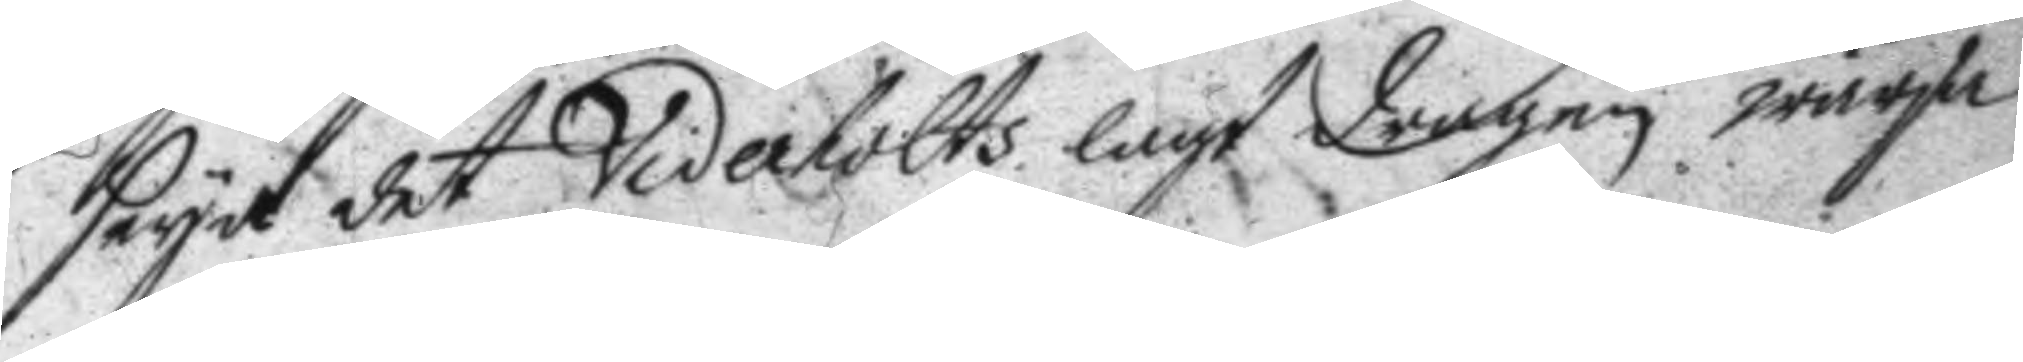seya det Viderholts lagt dragen wärja
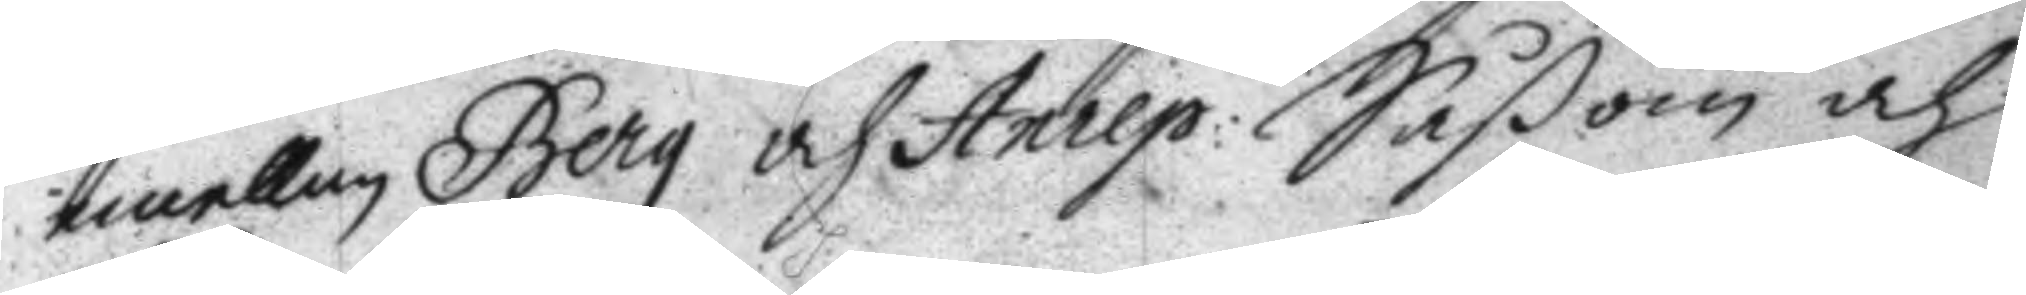emellan Berg och Anrep; Såsom och
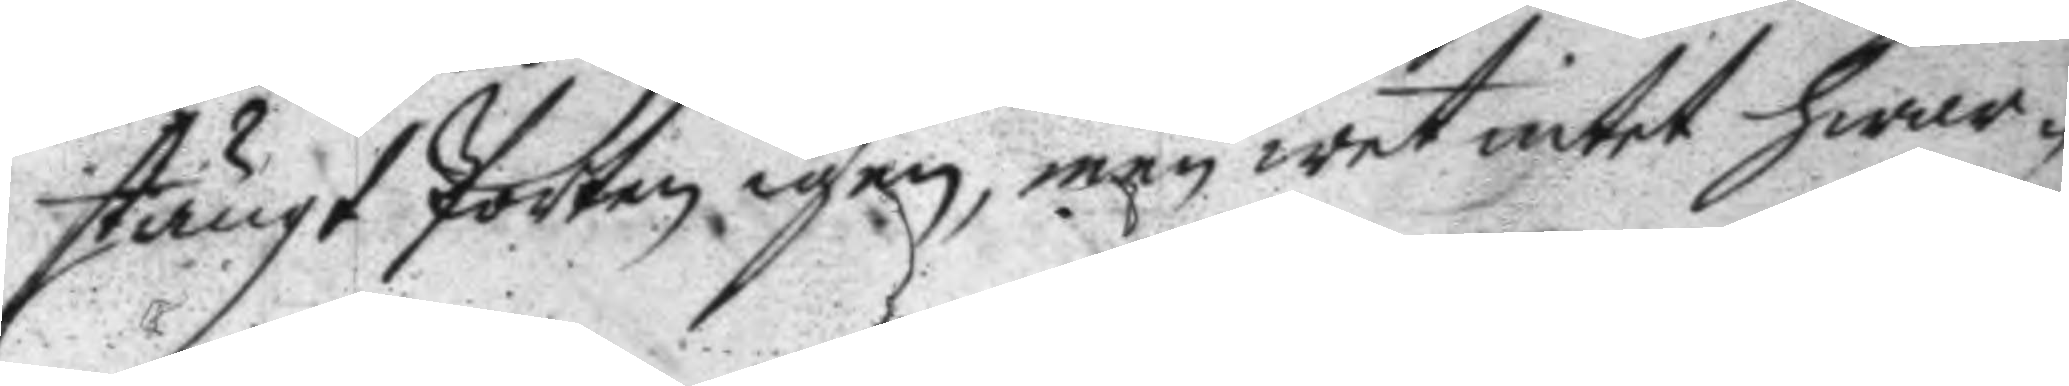stängt Porten igen, men wet intet hwar¬
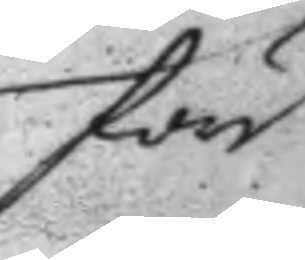före
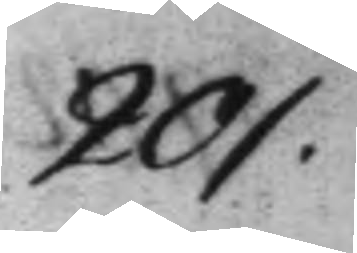201.
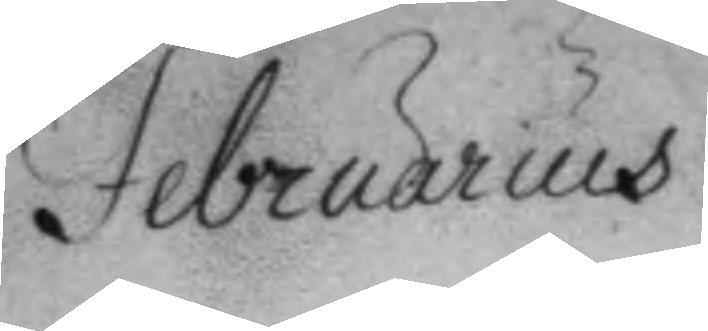Februarius	
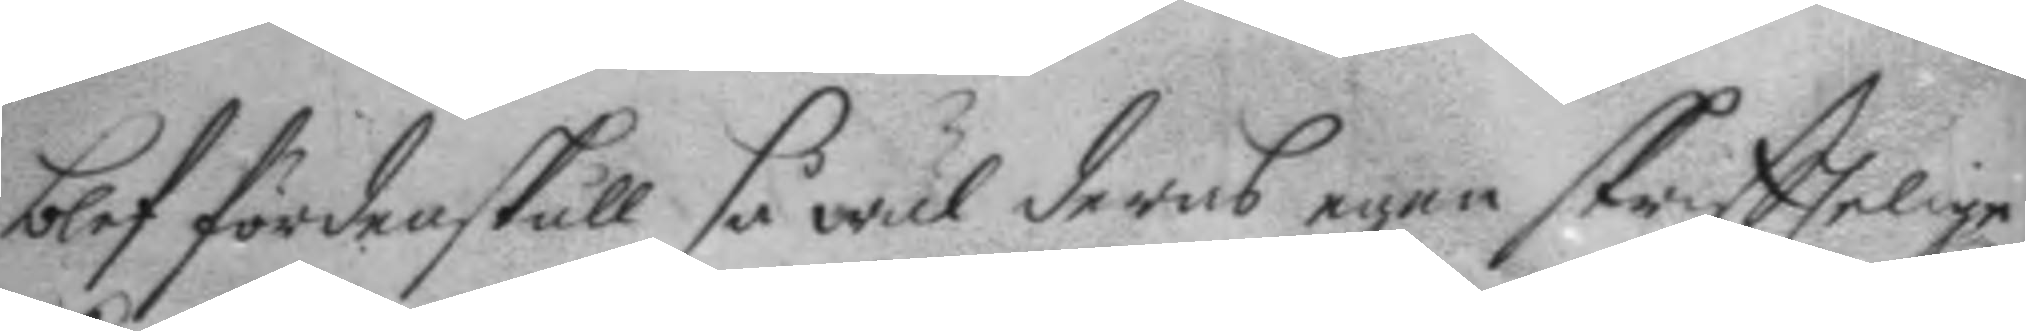blef fördenskull så wäl deras egne skriftelige
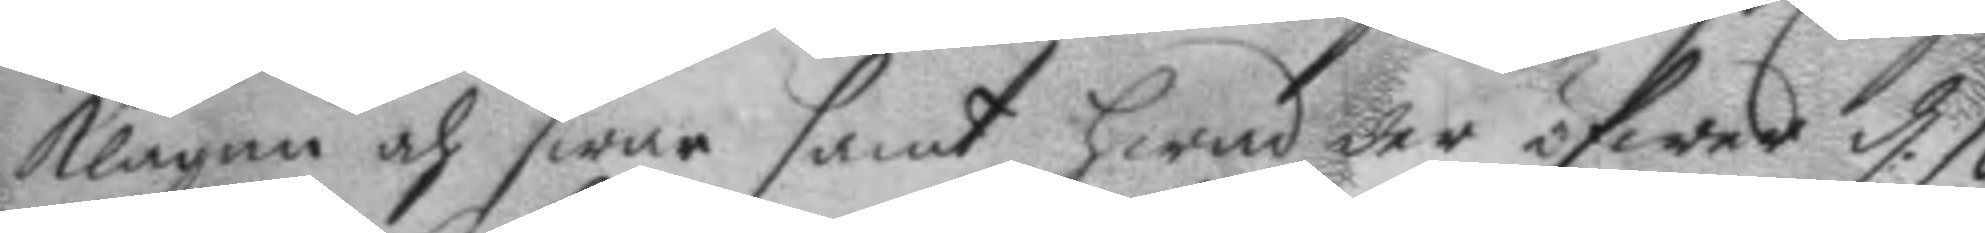klagan och swar samt hwad der öfwer d. 10
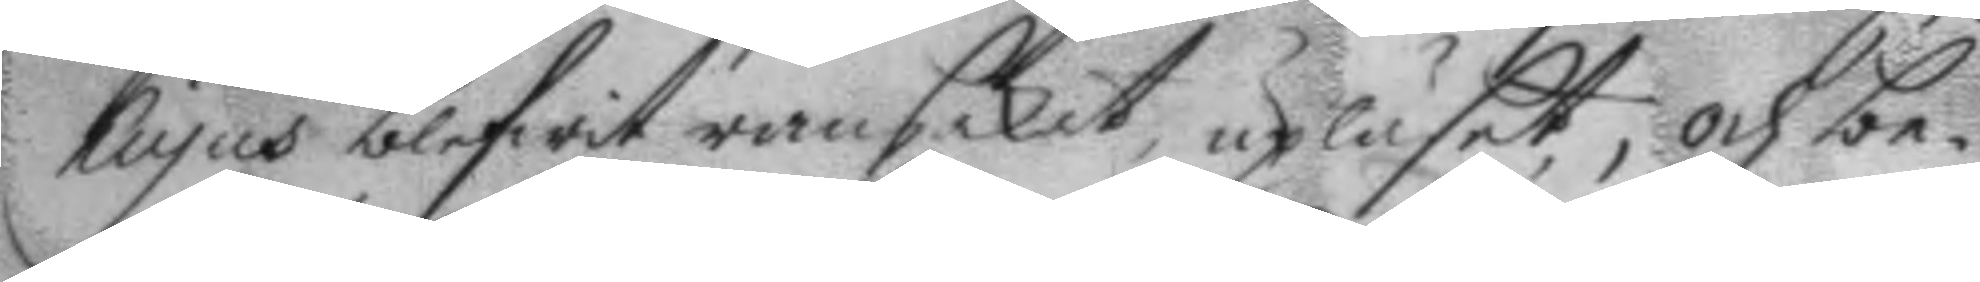hujus blifwit ransakat, upläset, och be¬
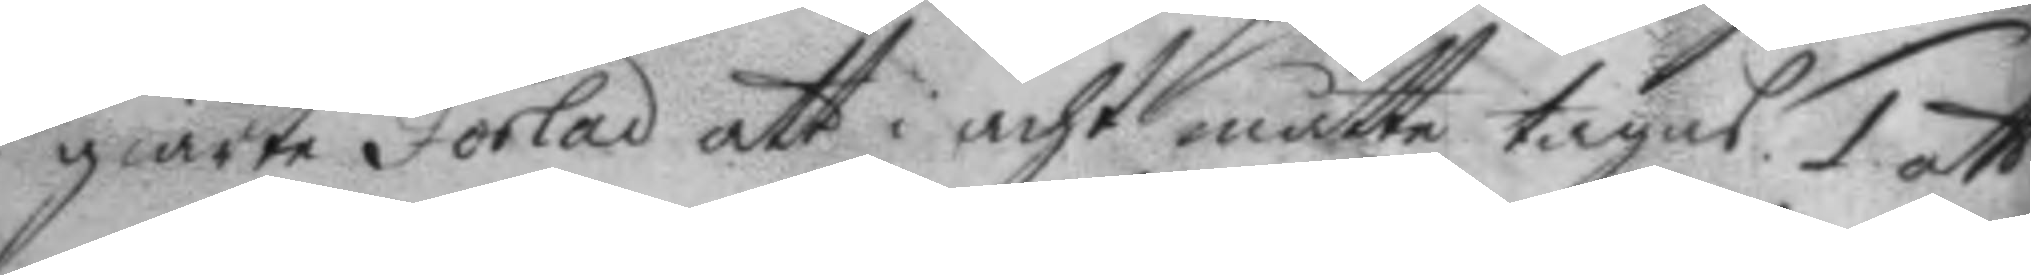giärte Forlad att i acht måtte tagas 1. att
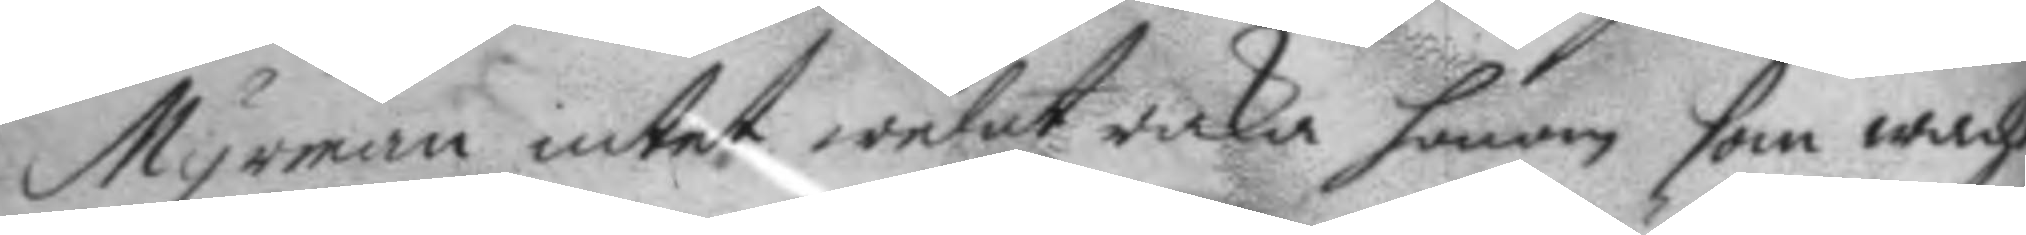Myrman intet welat raka honom som wacht
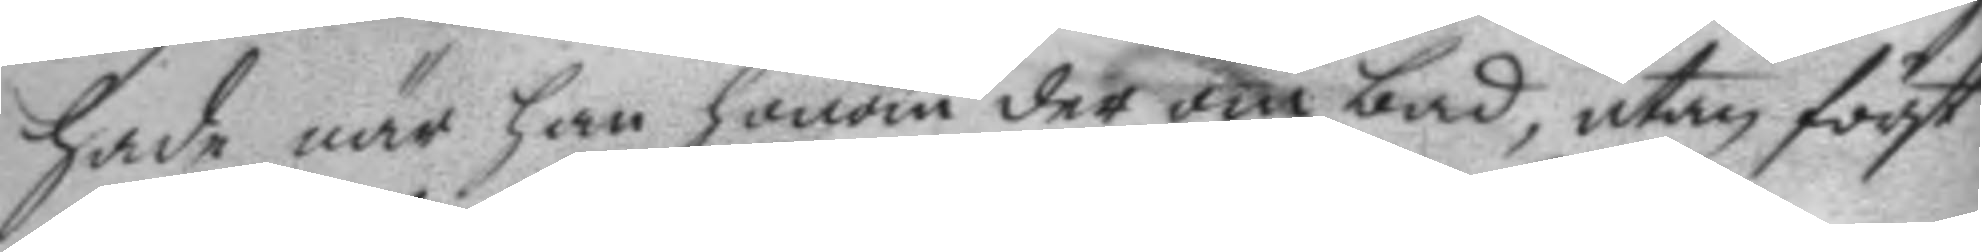hade när han honom der om bad, utan först
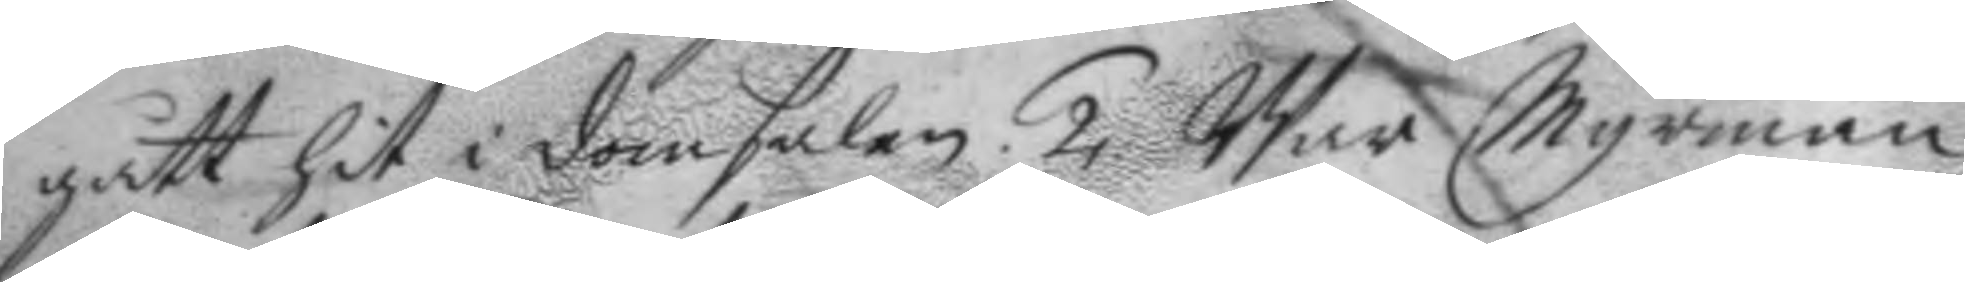gått hit i domhalen. 2. War Myrman
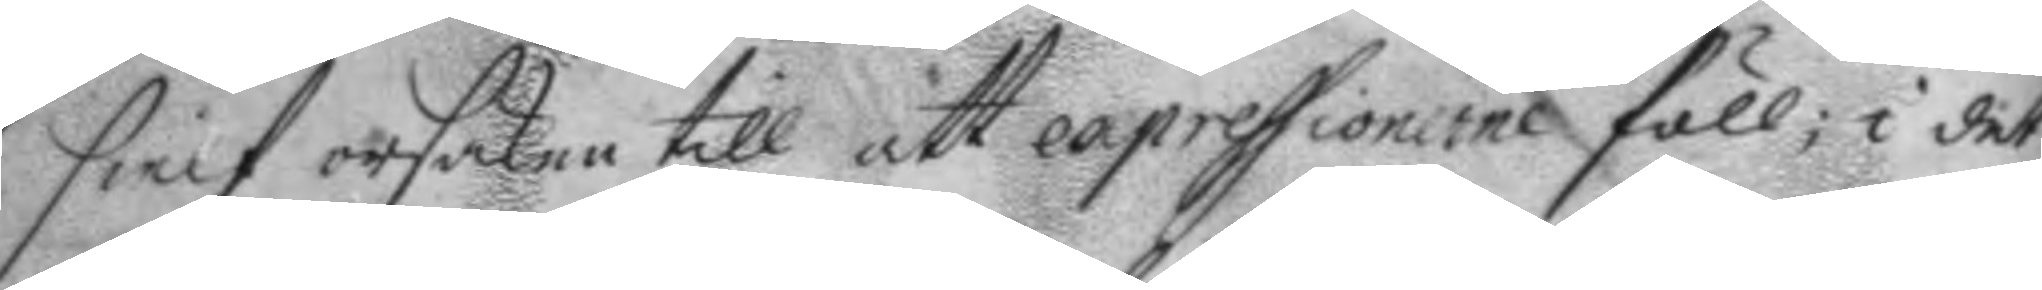sielf orsaken till att expressionerne föll; i det
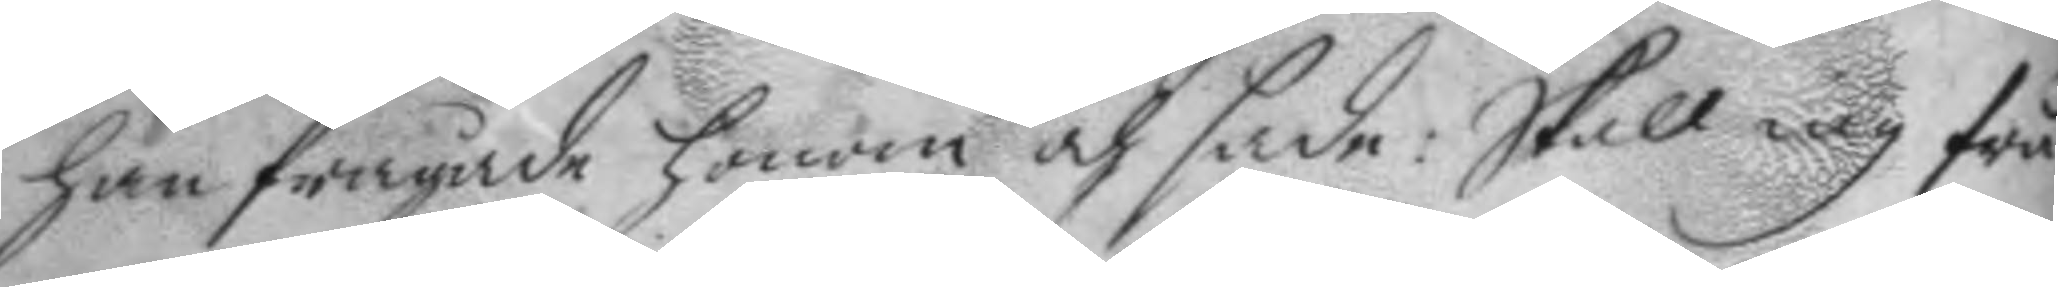han frågade honom och sade: Skall iag frå¬
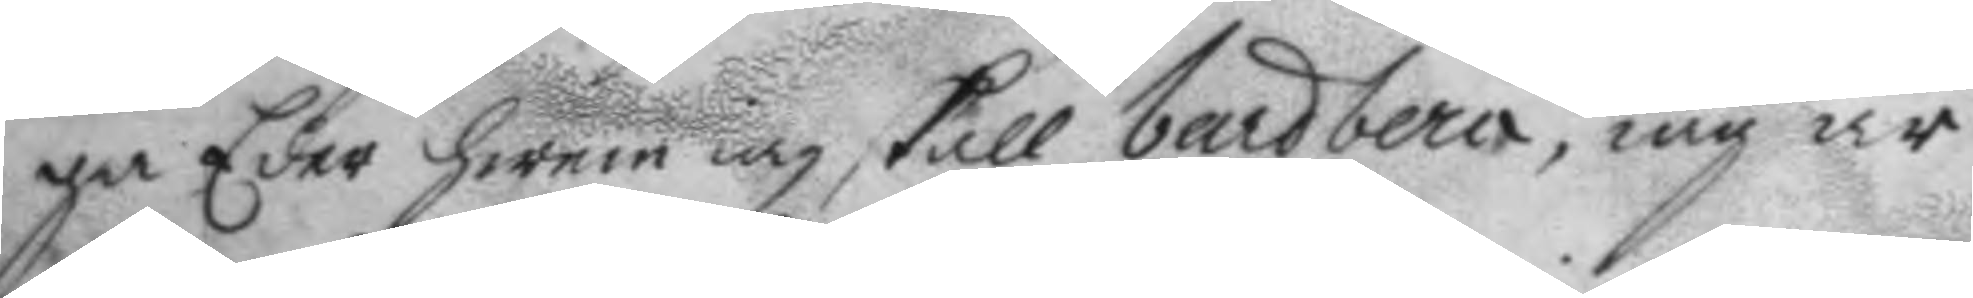ga Eder hwem iag skall bardbera, iag är
